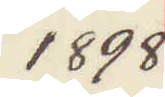1898
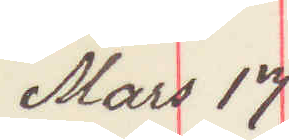Mars 17
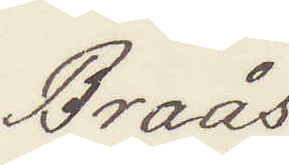Braås.
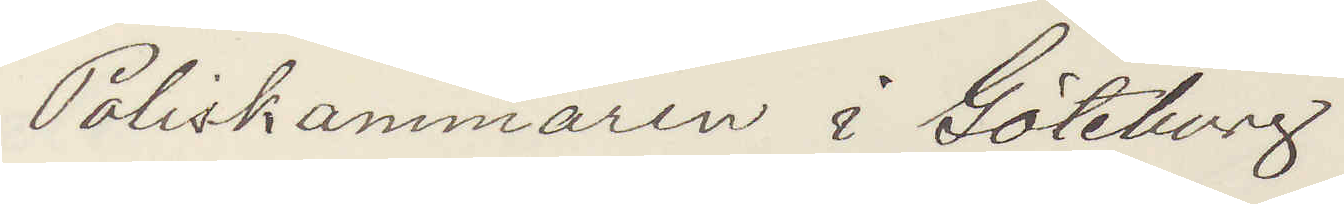Poliskammaren i Göteborg.
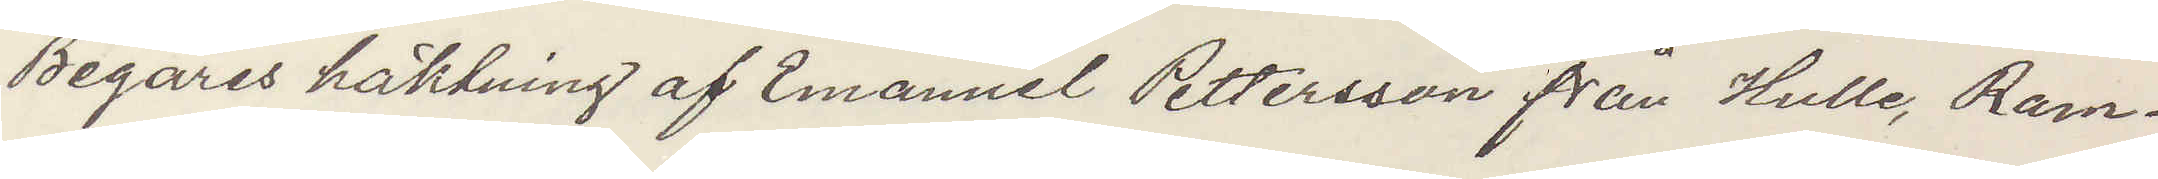Begäres häktning af Emanuel Pettersson från Hulle, Ram¬
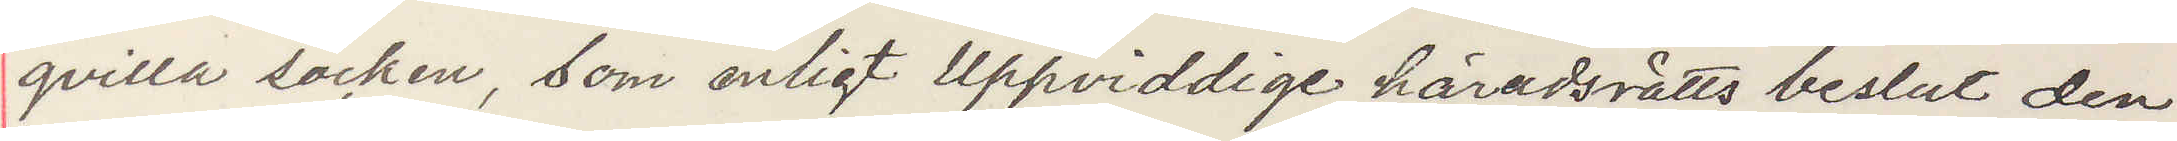qvilla socken, som enligt Uppvidinge häradsrätts beslut den
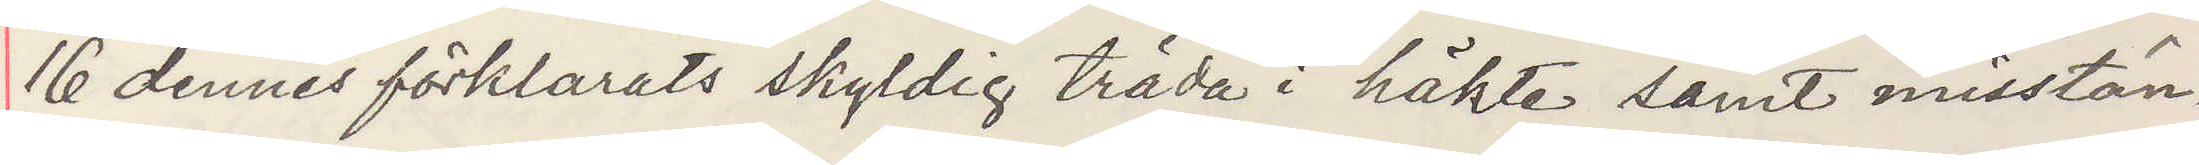16 dennes förklarats skyldig träda i häktre samt misstän¬
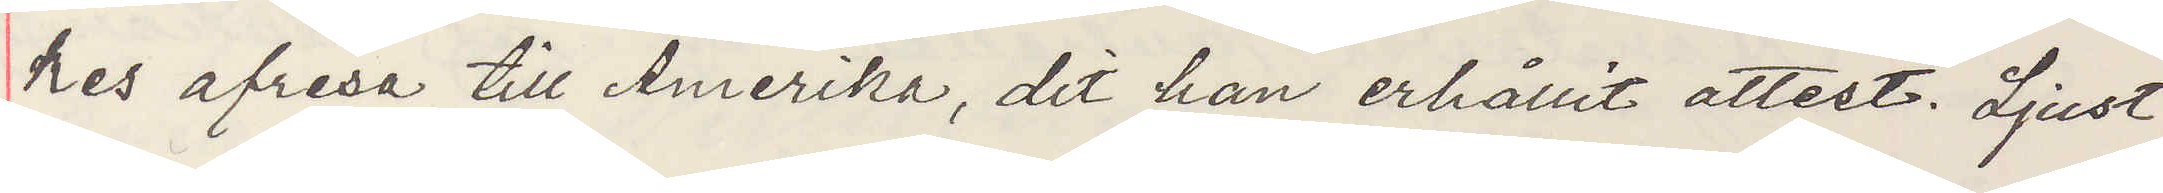kes afresa till Amerika, dit han erhållit attest. Ljust
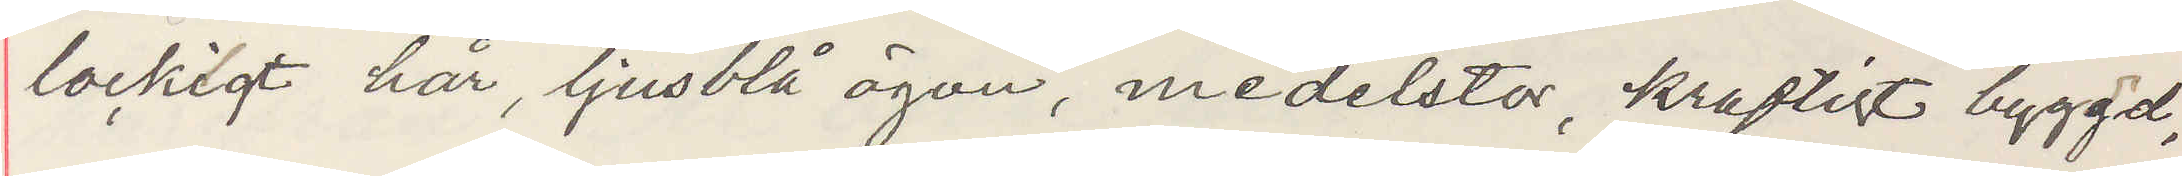lockigt hår, ljusblå ögon, medelstor, kraftigt byggd,
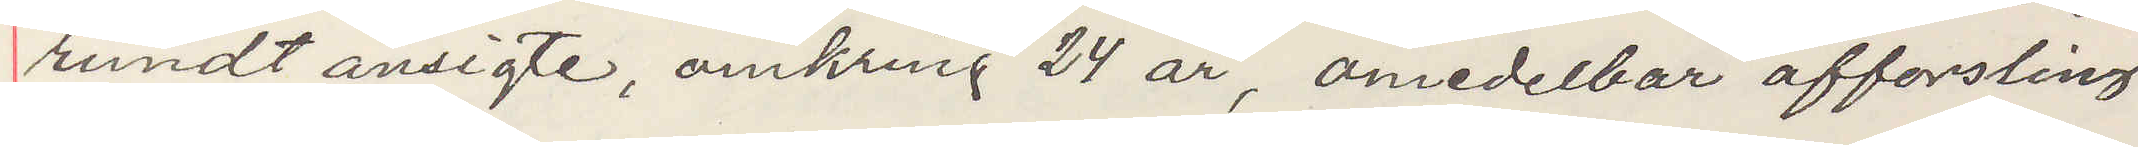rundt ansigte, omkring 24 år, omedelbar afforsling
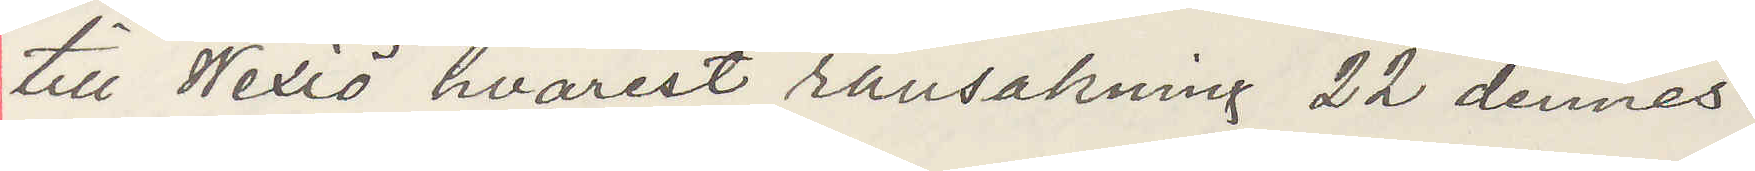till Wexiö hvarest ransakning 22 dennes.
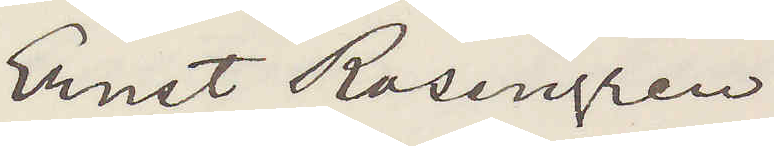Ernst Rosengren
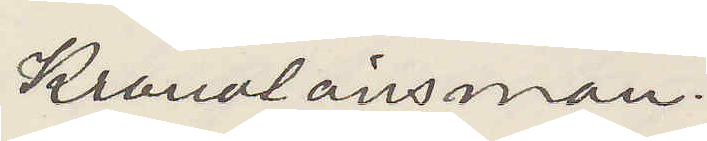Kronolänsman.
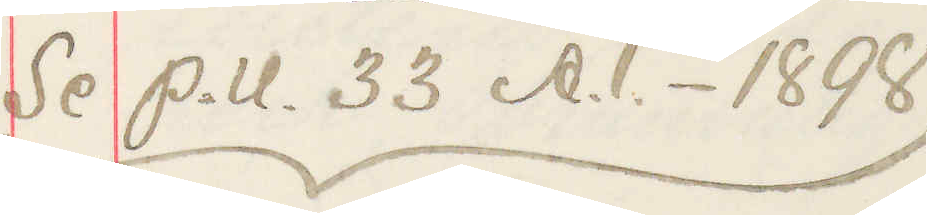Se  P. U. 33 A.1.- 1898
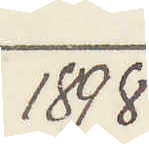1898
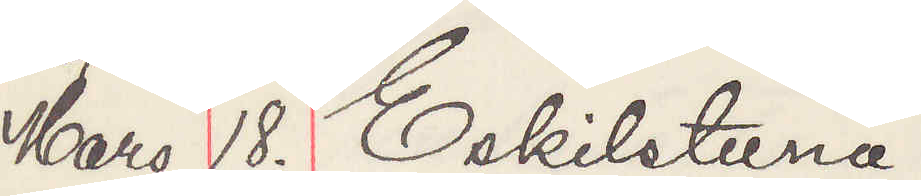Mars 18. Eskilstuna.
